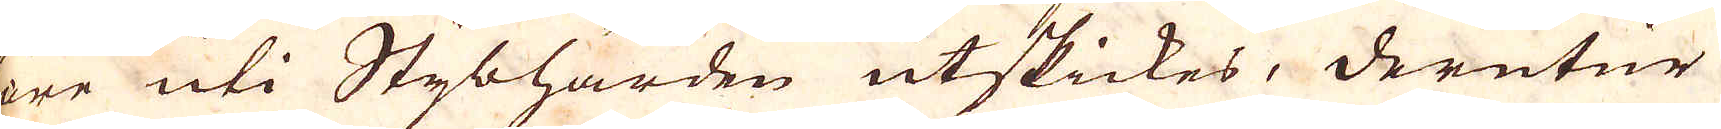före uti Stybhärden utskickes, derutur
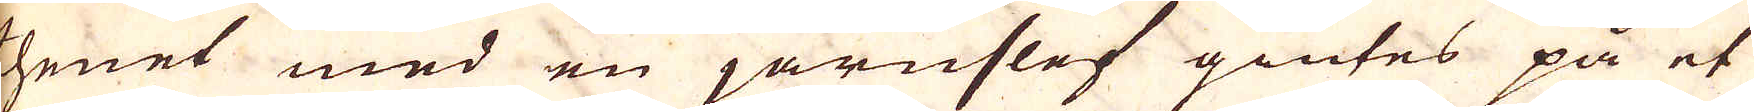thenet med en järnslef giutes på et
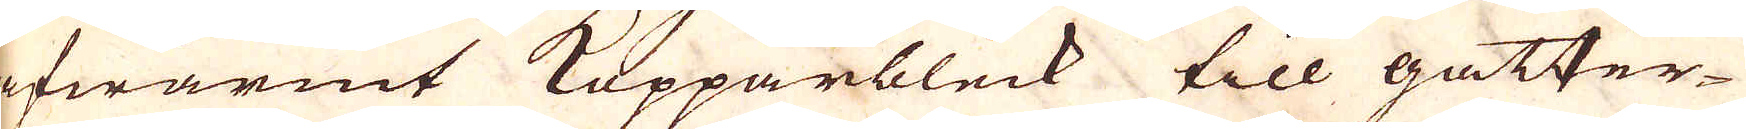afwärmt Kopparbleck till gatter-
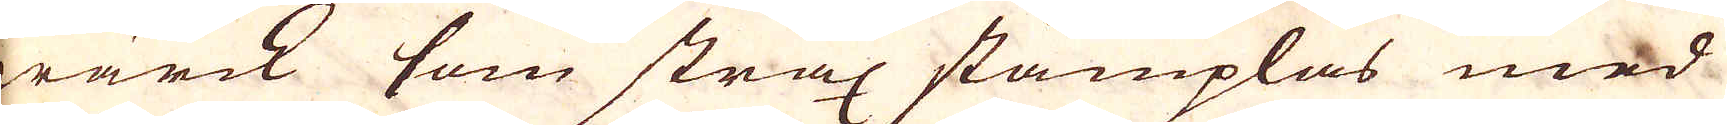wärck som strax stämplas med
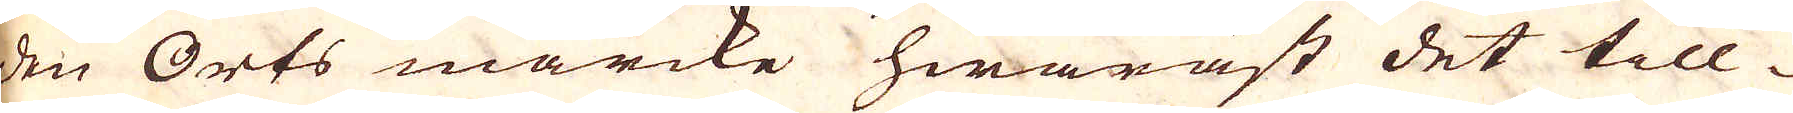den Orts märcke hwaräst det till- 
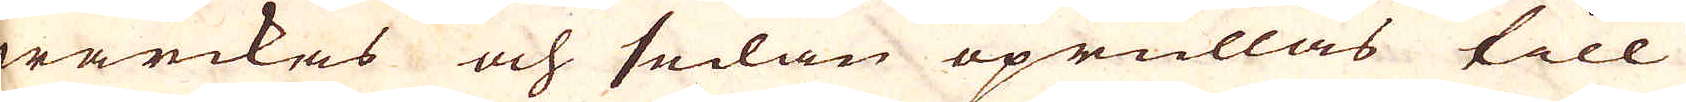wärckas och sedan uprullas till
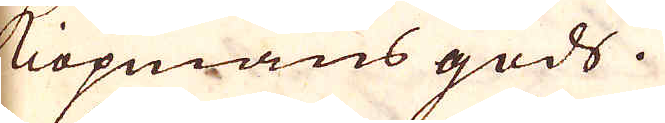Köpmans gods.
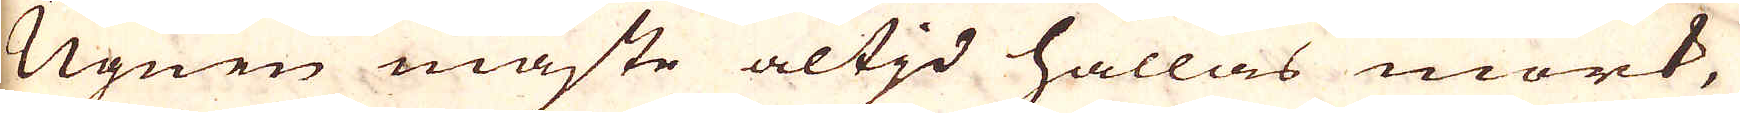Ugnen måste altid hållas mörk,
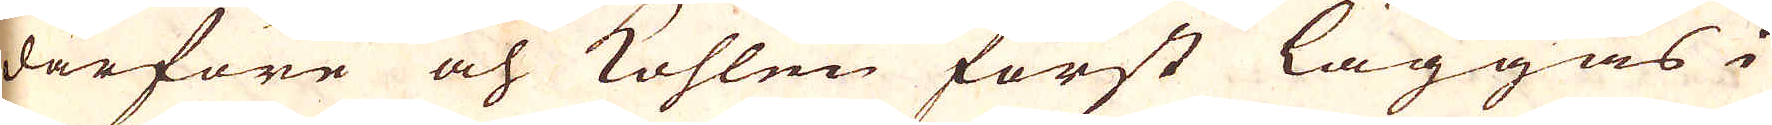därföre och kohlen först läggas i
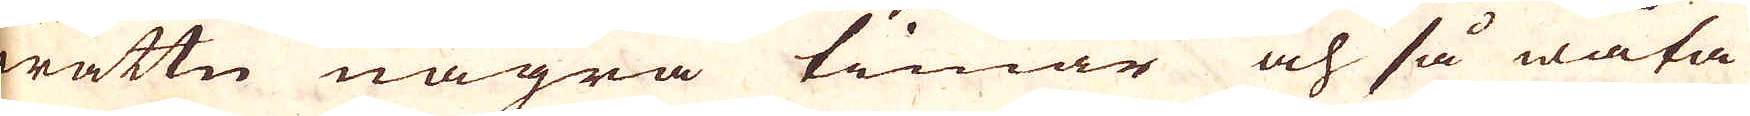wattn några timar och så wåta
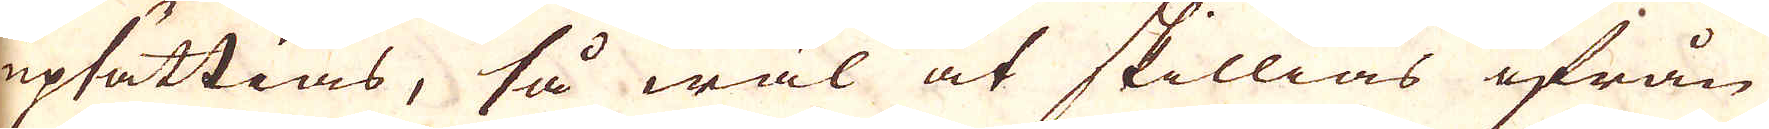upsättias, så wäl at skillias ifrån
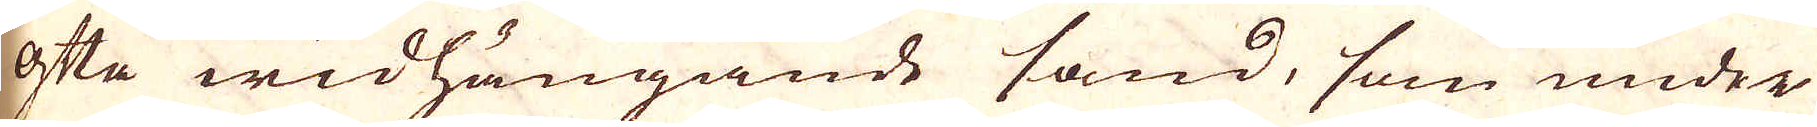ofta widhängande sand, som under
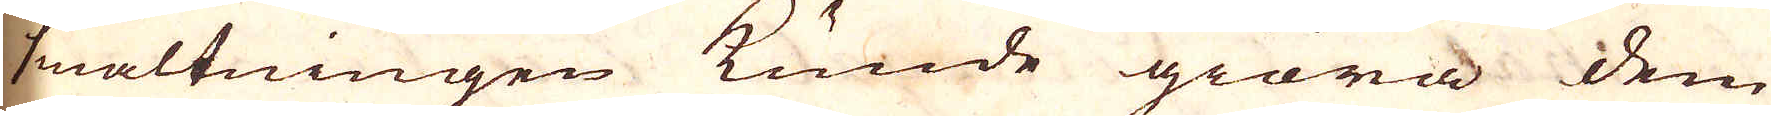smältningen kunde giöra dem
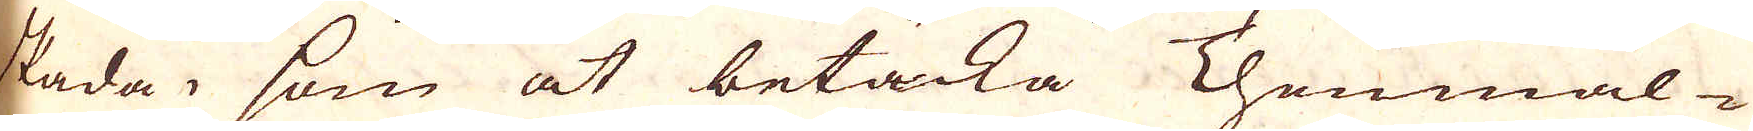skada, som at betäcka Thenmal-
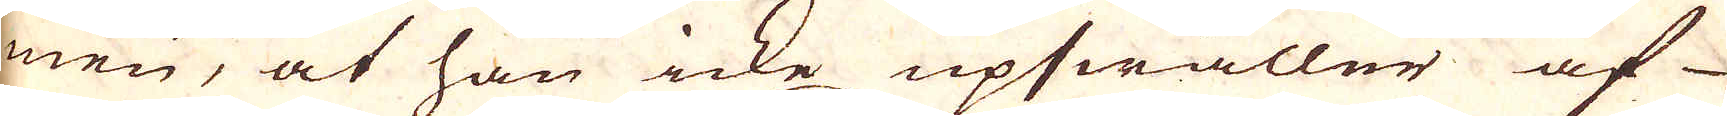men, at han icke upswäller af
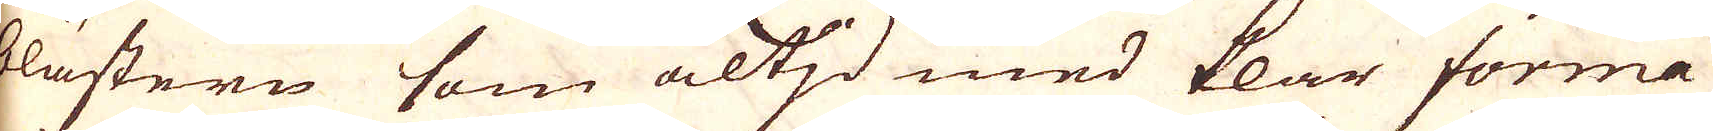blästern som altjd med klar förma
